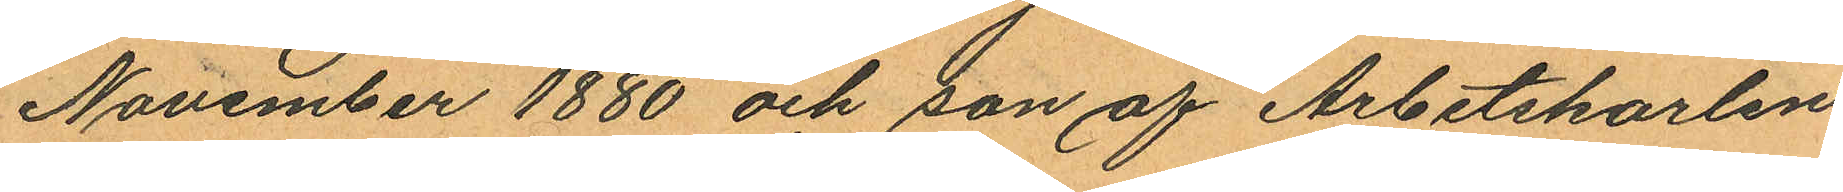November 1880 och son af Arbetskarlen
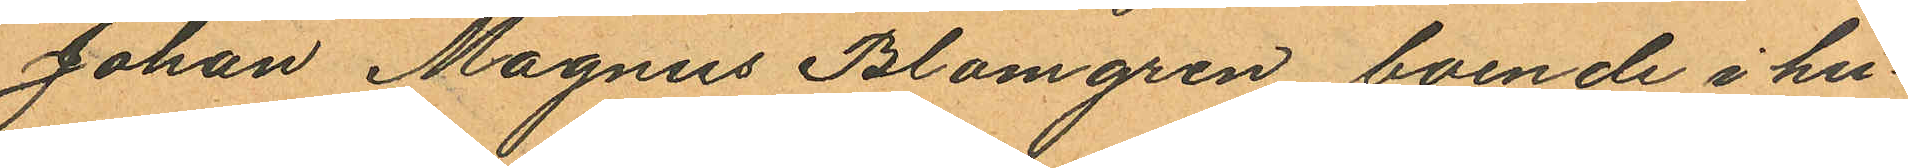Johan Magnus Blomgren boende i hu¬
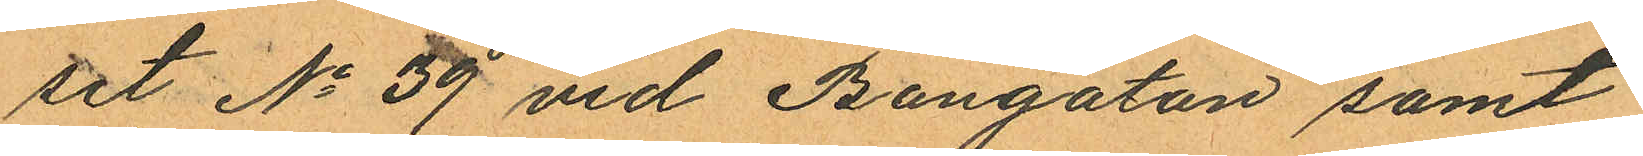set No 39 vid Bangatan samt
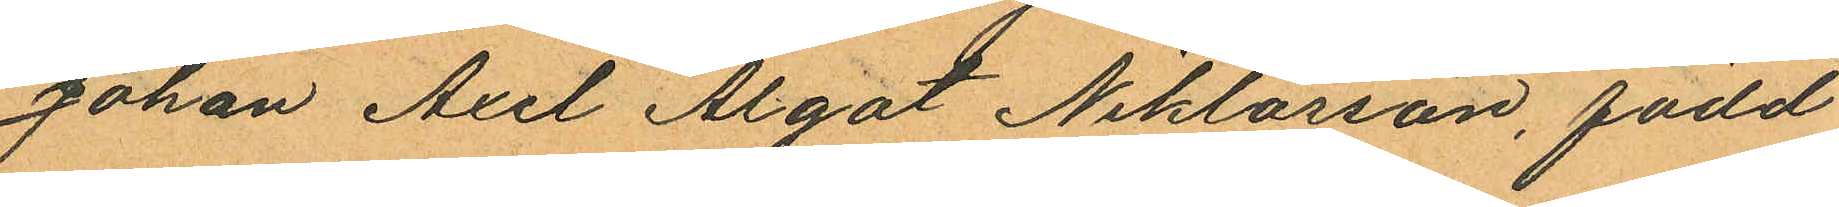Johan Axel Algot Niklasson, född
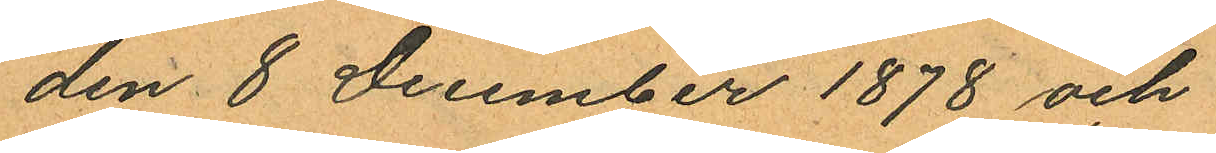den 8 December 1878 och
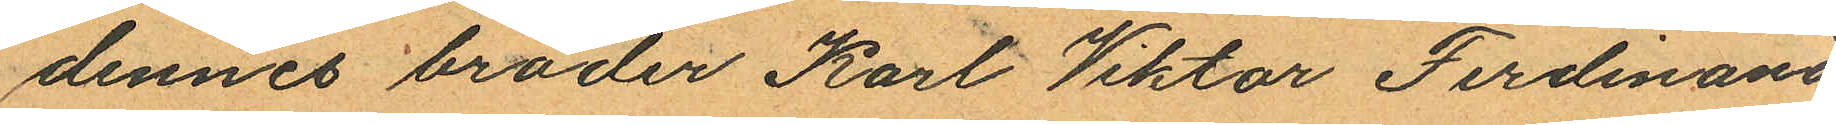dennes broder Karl Viktor Ferdinand
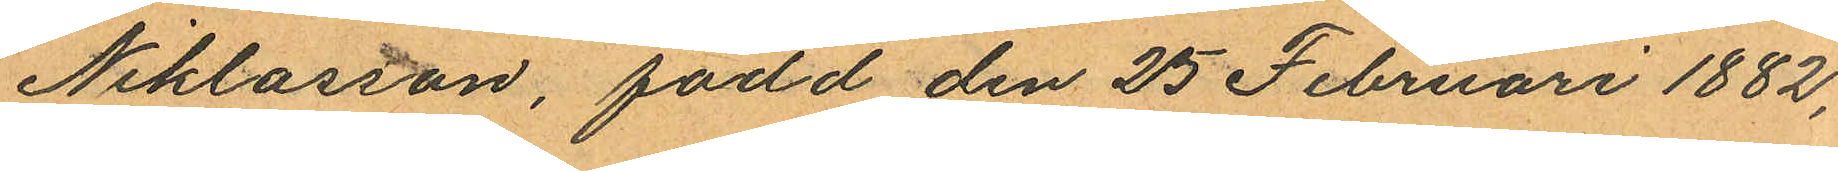Niklasson, född den 25 Februari 1882,
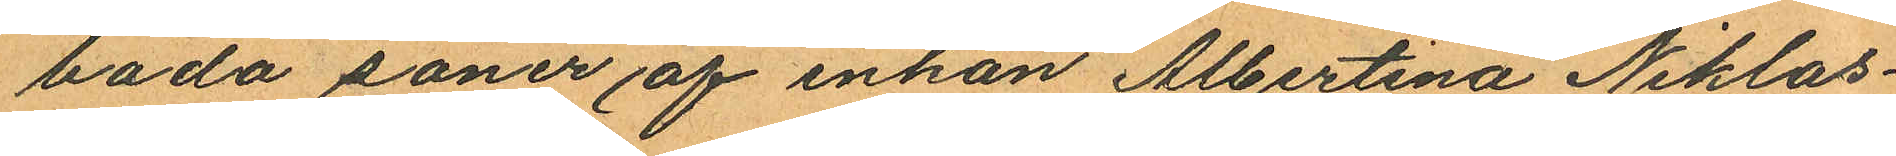båda söner af enkan Albertina Niklas¬
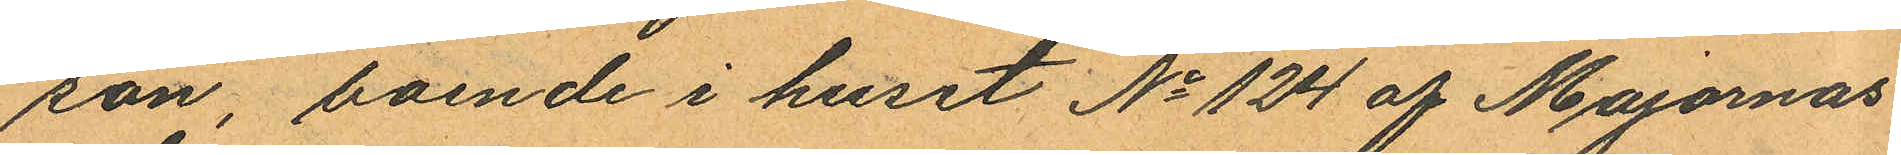son, boende i huset No 124 af Majornas
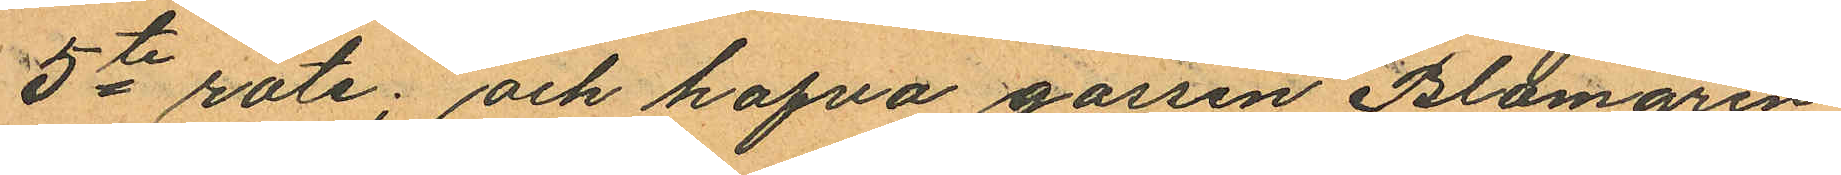5te rote; och hafva gossen Blomgren
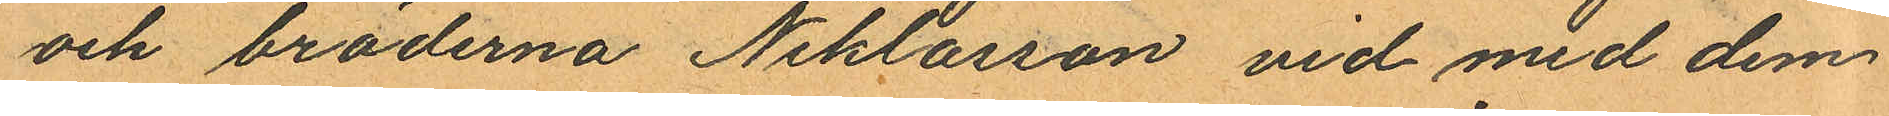och bröderna Niklasson vid med dem
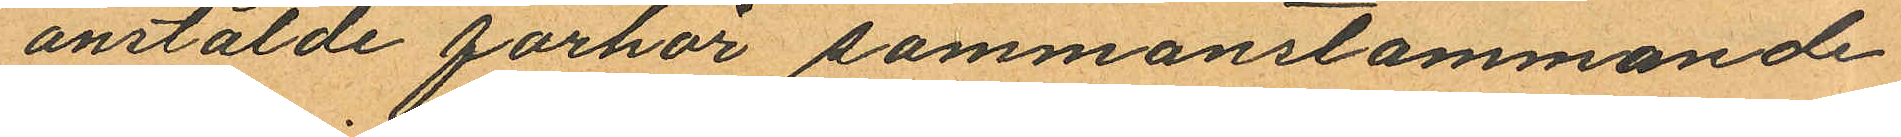anstälde förhör sammanstämmande
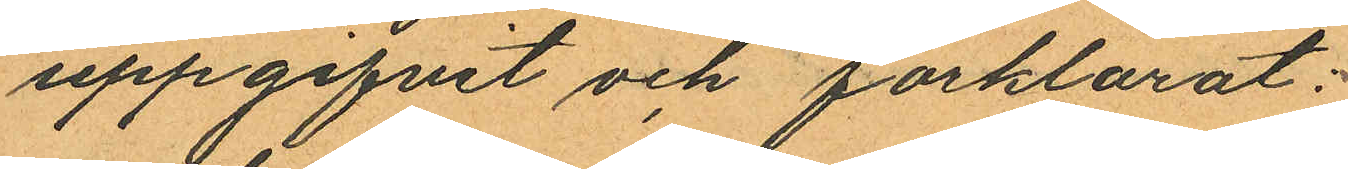uppgifvit och förklarat:
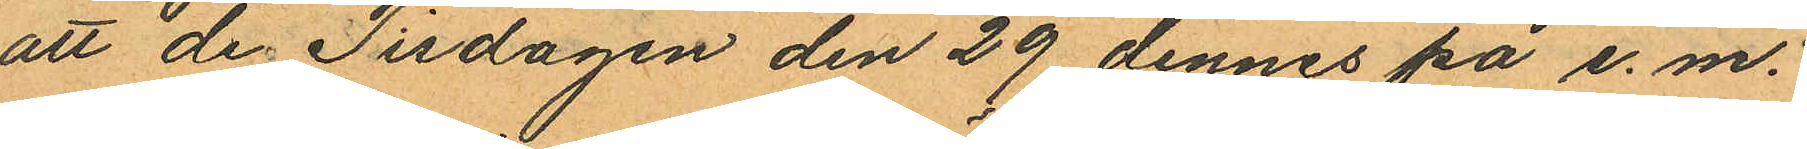att de Tisdagen den 29 dennes på e. m.
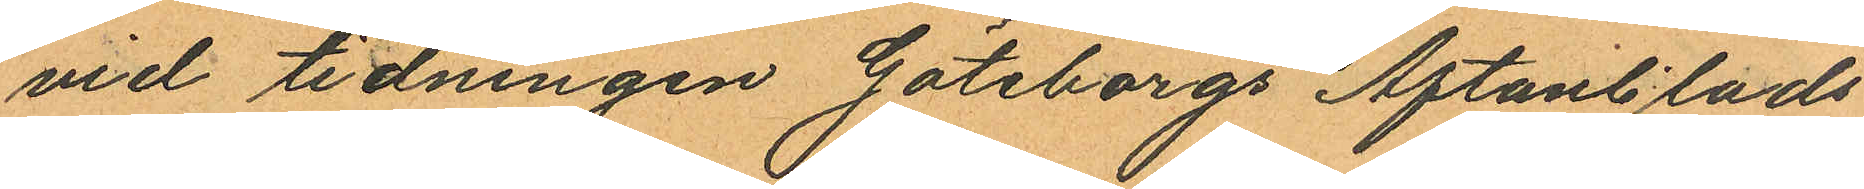vid tidningen Göteborgs Aftonblads
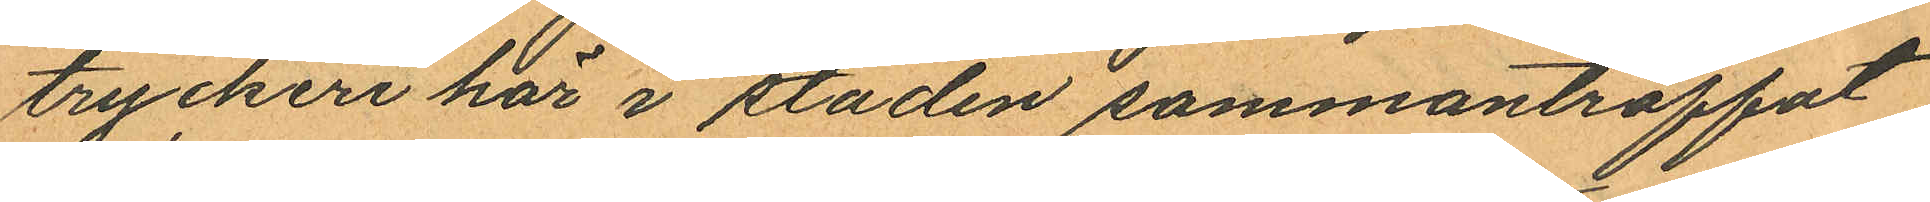tryckeri här i staden sammanträffat
